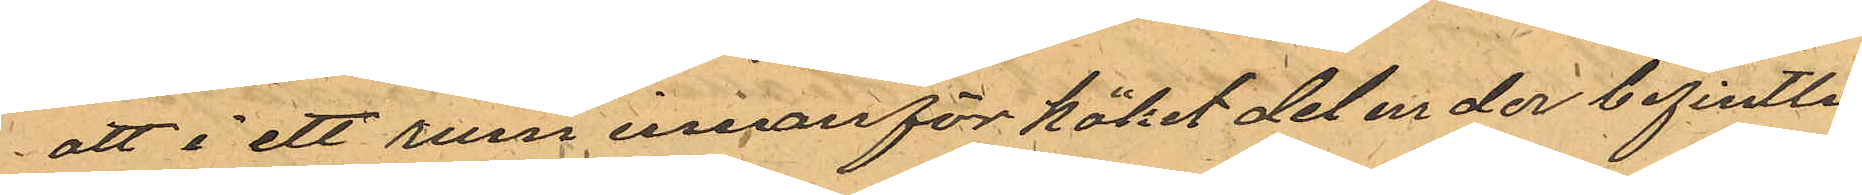att i ett rum innanför köket det ur der befintlig
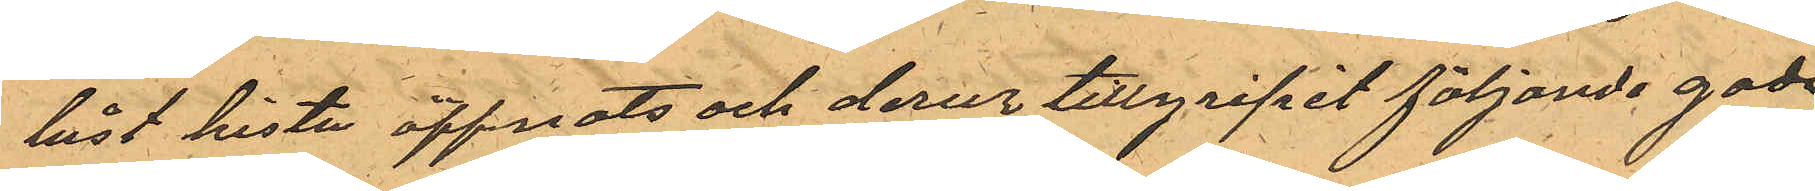låst kista öppnats och derur tillgripit följande gods
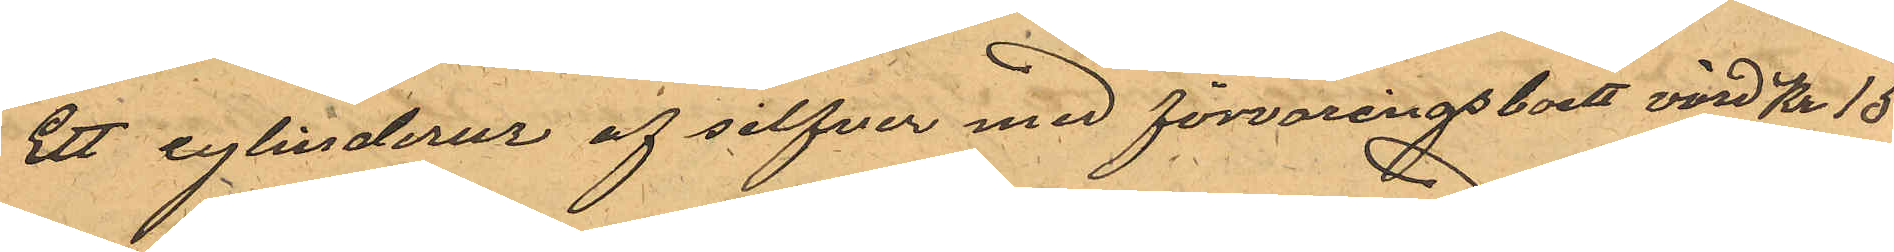Ett cylinderur af silfver med förvaringsboett värd Kr 15
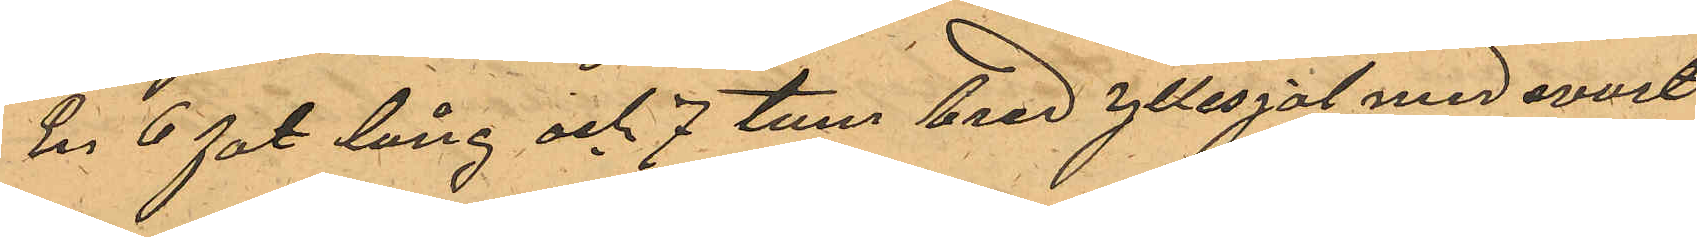En 6 fot lång och 7 tum bred yllesjal med svart
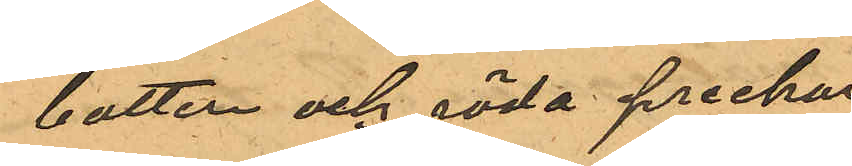botten och röda preckar
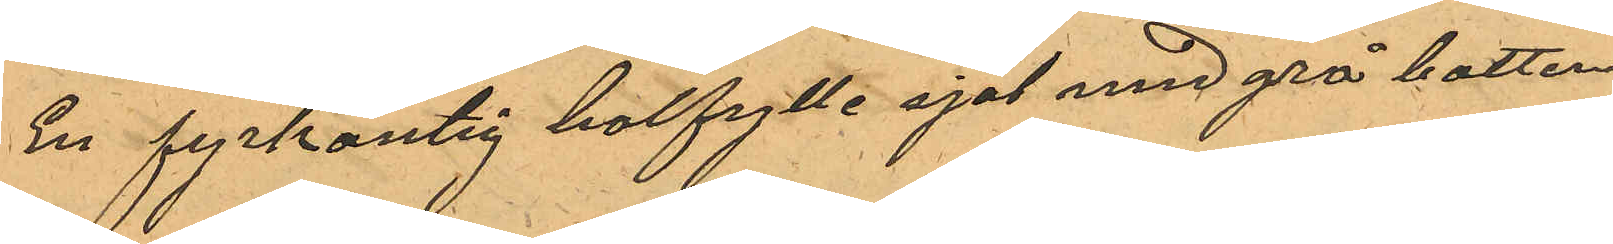En fyrkantig halfylle sjal med grå botten
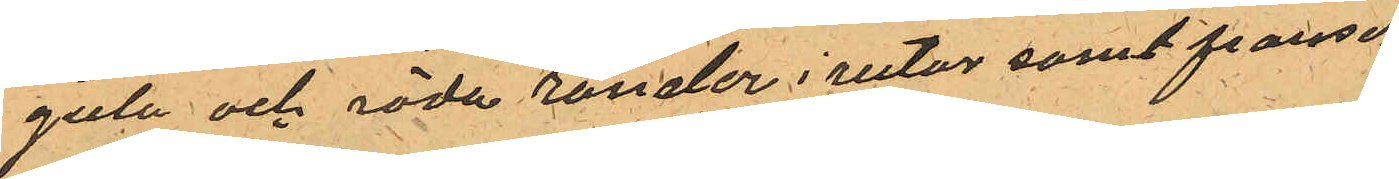gula och röda ränder i rutor samt fransar
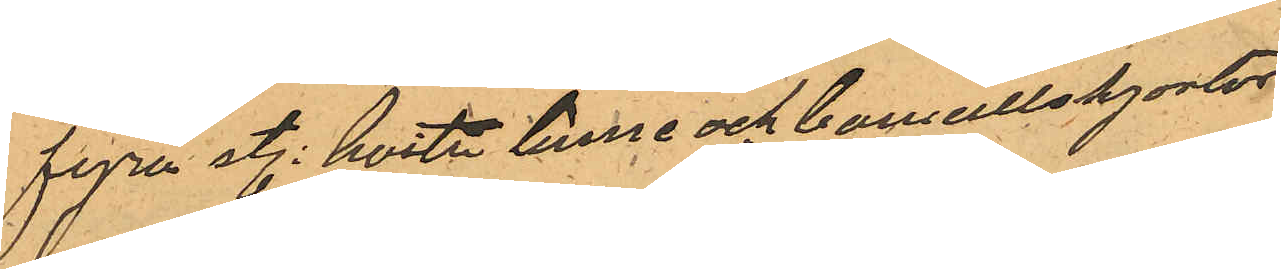fyra st. hvita linne och bomullskjortor
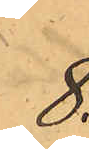8.
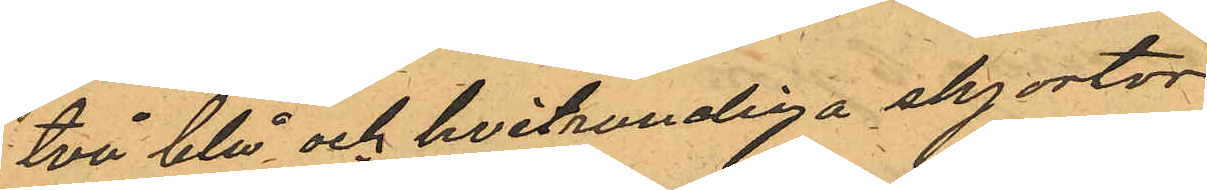två blå och hvitrandiga skjortor
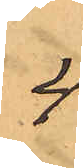4
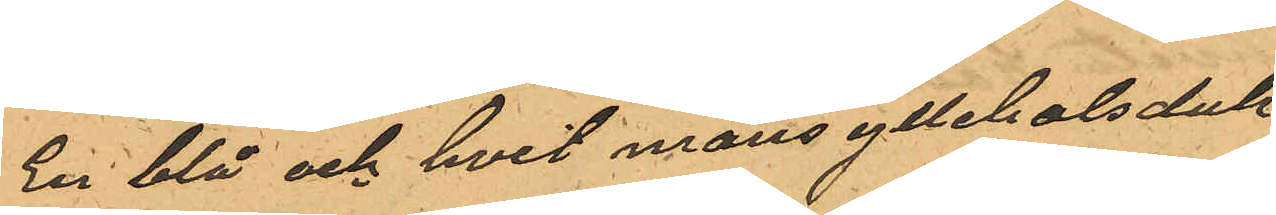En blå och hvit mans yllehalsduk
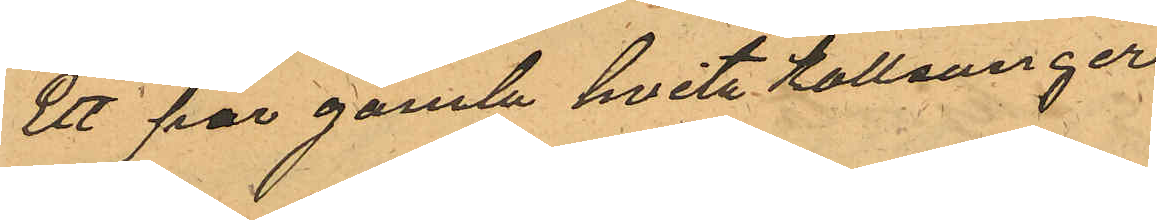Ett par gamla hvita Kallsonger
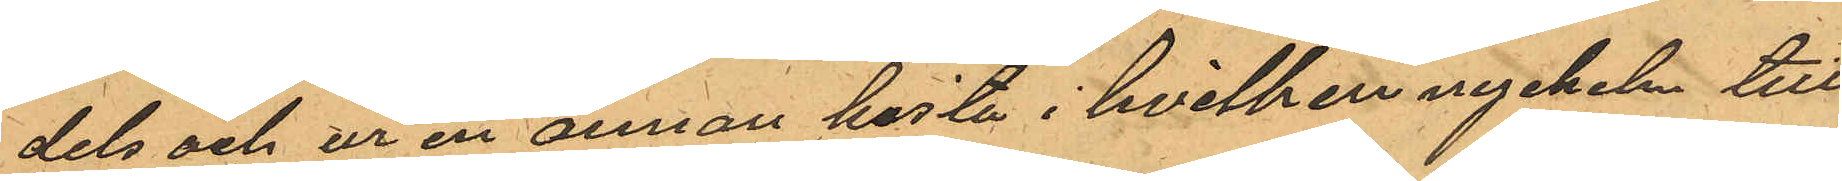dels och ur en annan kista i hvilken nyckeln till
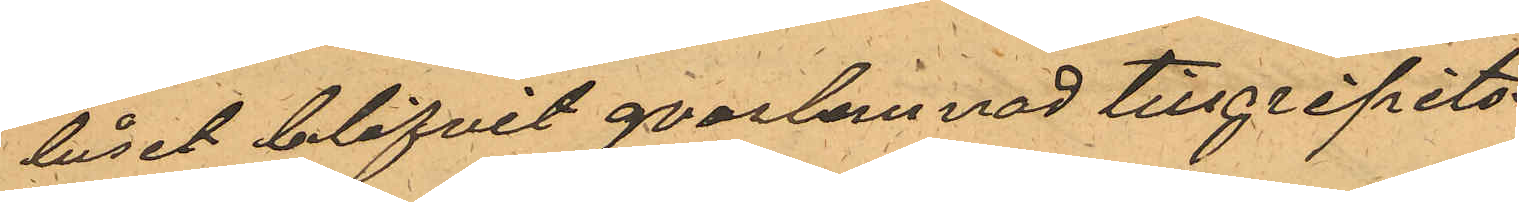låset blifvit qvarlemnad tillgripits
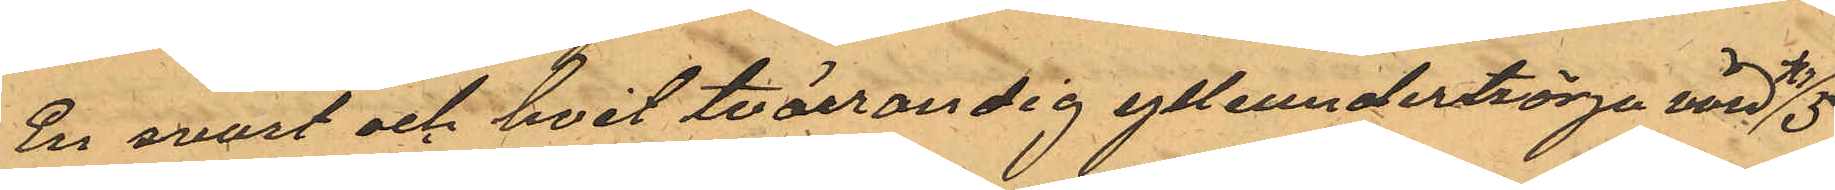En svart och hvit tvärrandig ylleundertrörja värd Kr 15
